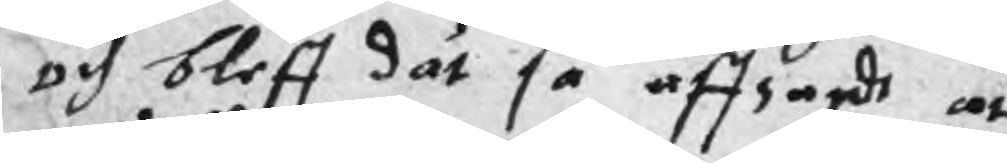och bleff dåt så affsagdt at
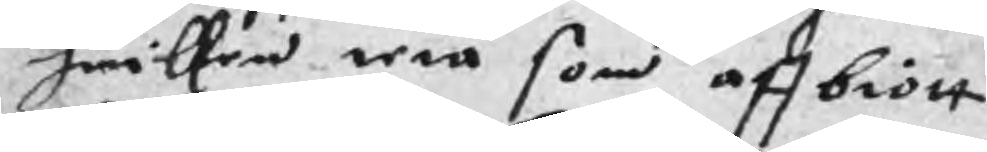hwilken wta som affbiött
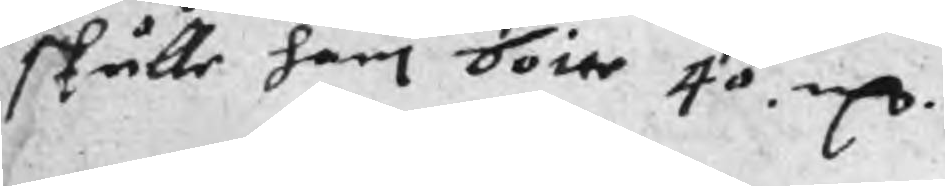skulle han böite 40. rCr.
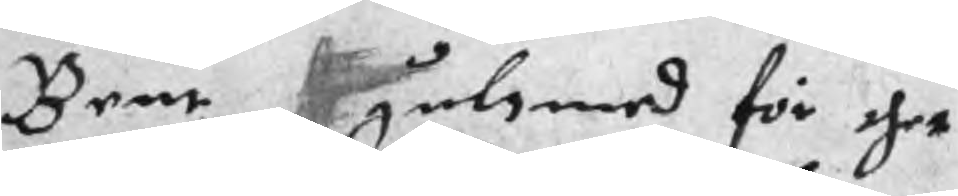Bent gulsmed för thet
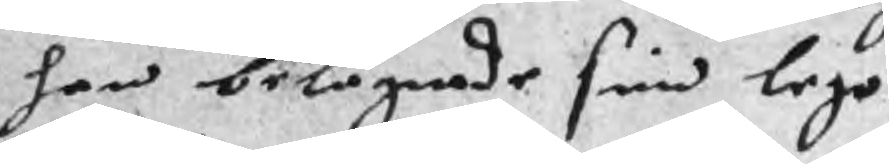han belägrade sin lego
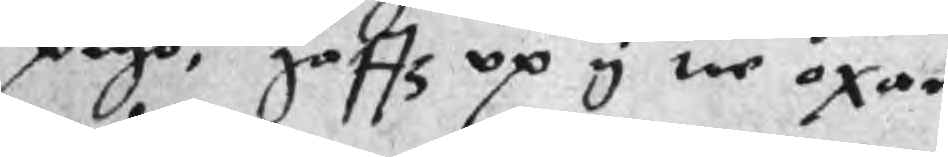pigo, gaffz up y tre oxae
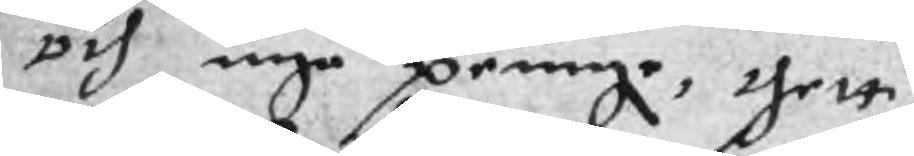och inge peinge, thett
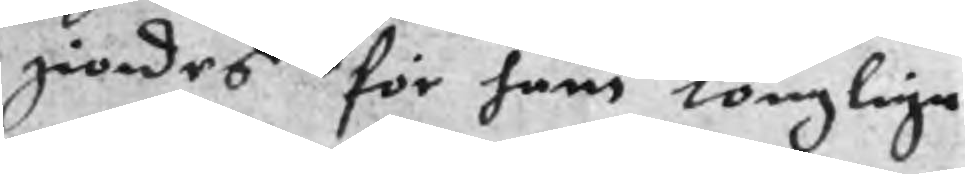giordes för hans longlige
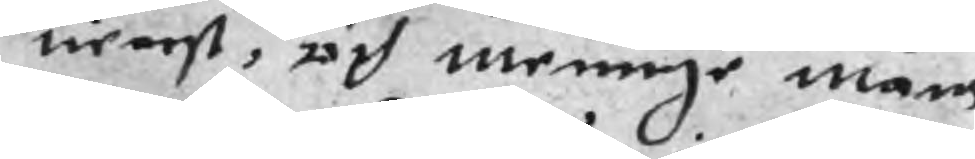tientst, och meninge mans
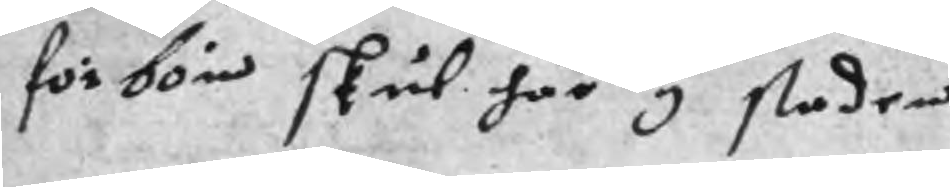förbön skul här i staden
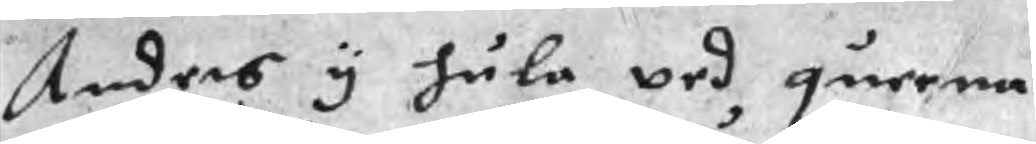Anders y hula ved queena
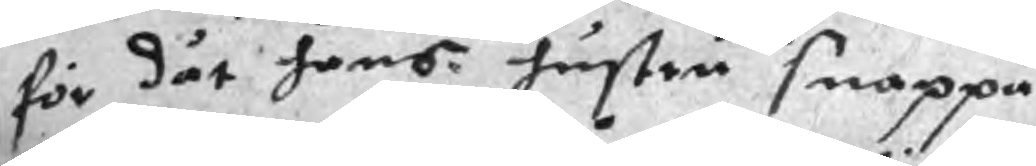för dät hans hustru snappa
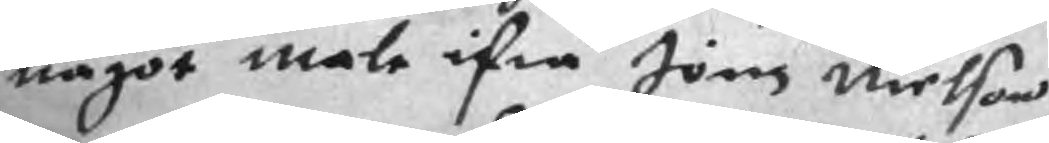något mate ifrå Jöns Nielson
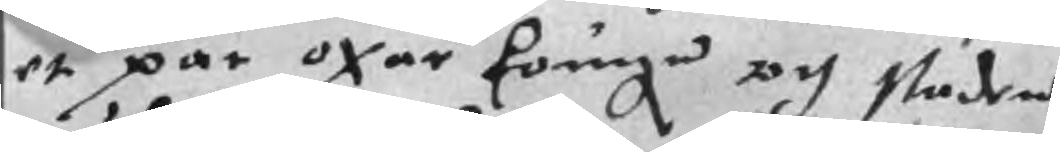et par oxar kougn och staden
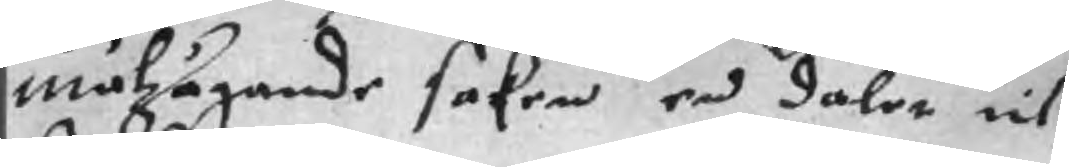målzägande saken end daler åt
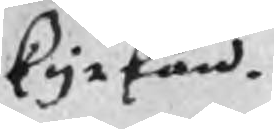kyrkan.
